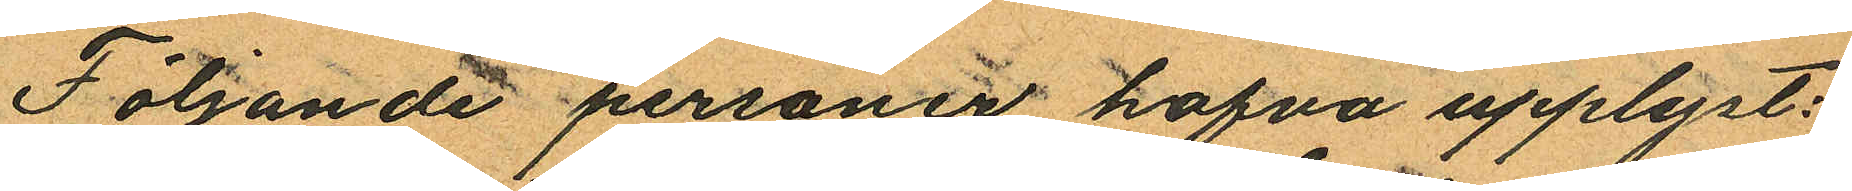Följande personer hafva upplyst:
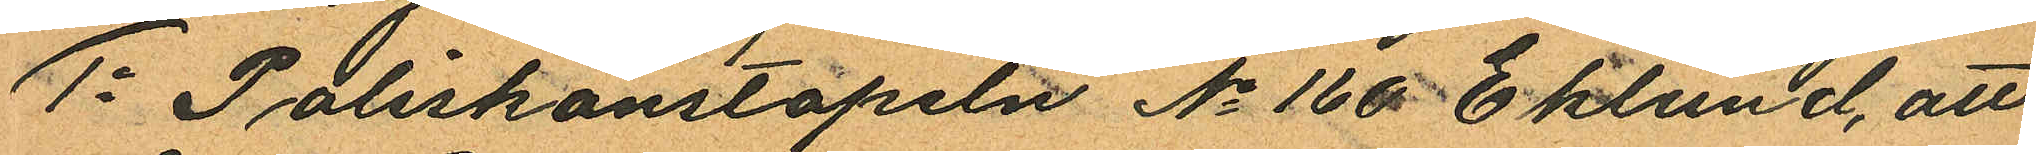1o Poliskonstapeln No 160 Eklund, att
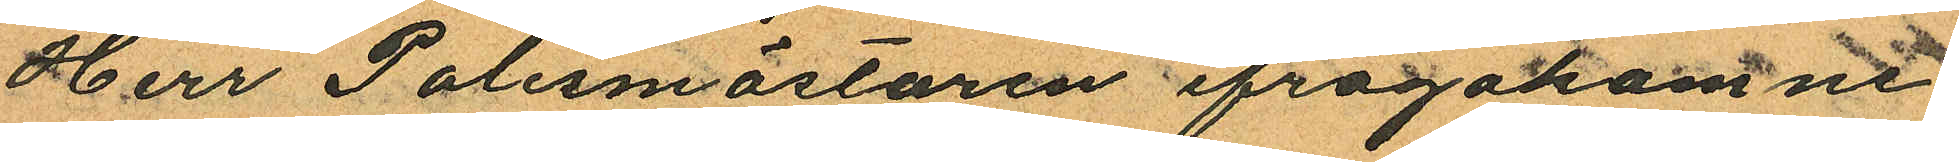Herr Polismästaren ifrågakomne
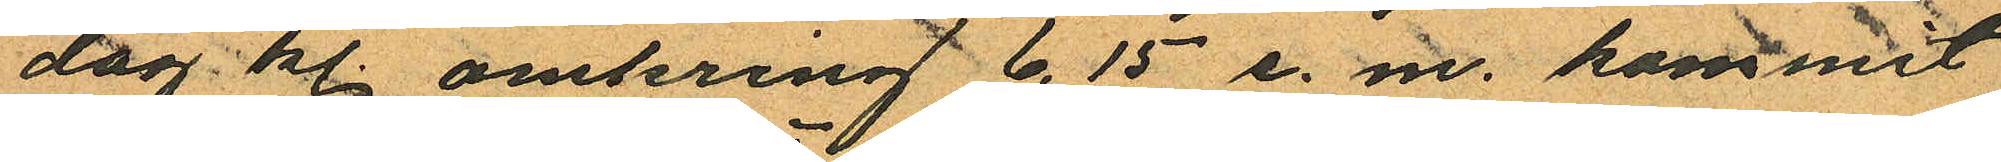dag kl. omkring 6.15 e. m. kommit
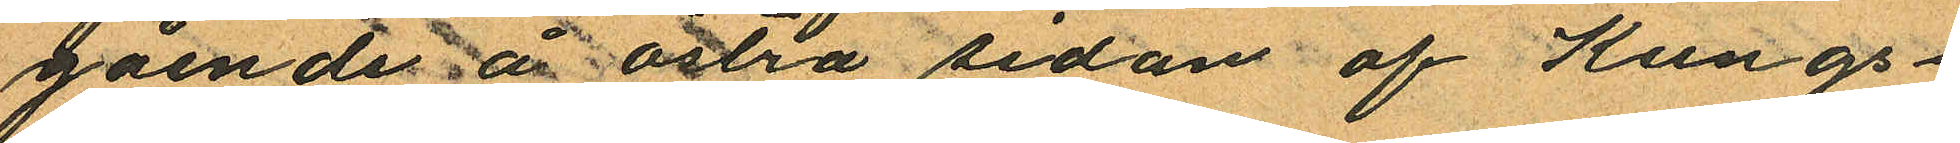gående å östra sedan af Kungs¬
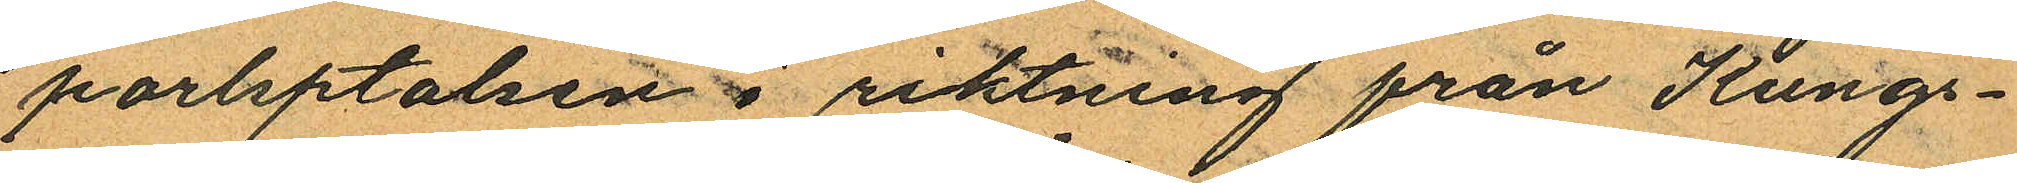porlptalsens riktning från Kungs¬
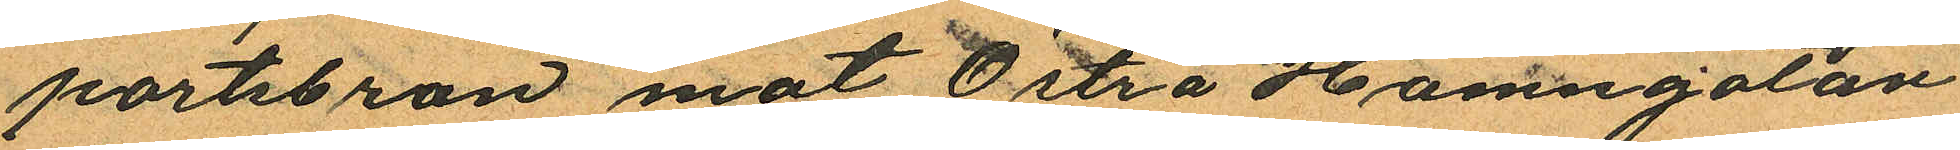portsbron mot Östra Hamngatan
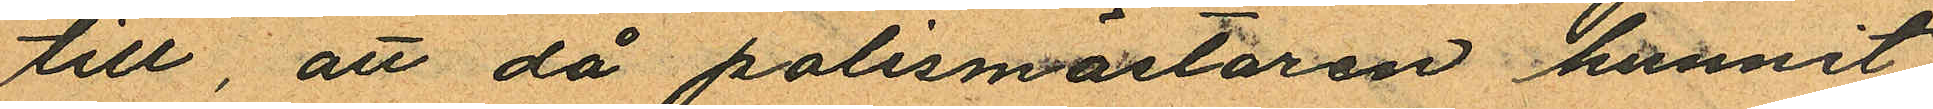till, att då polismästaren hunnit
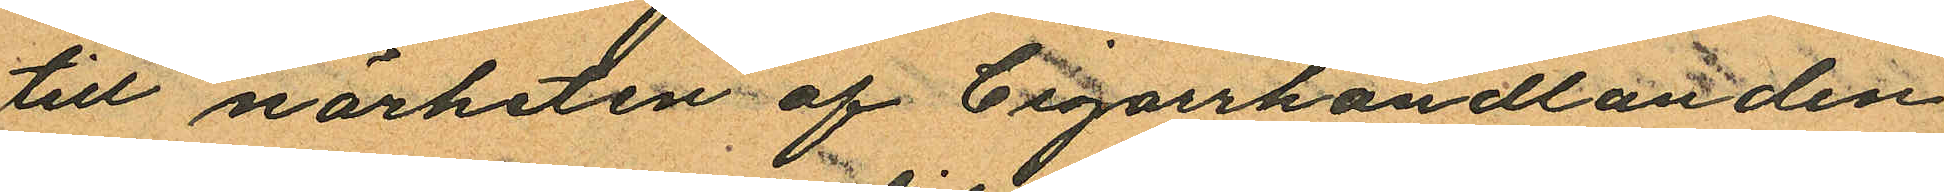till närheten af Cigarrhandlanden
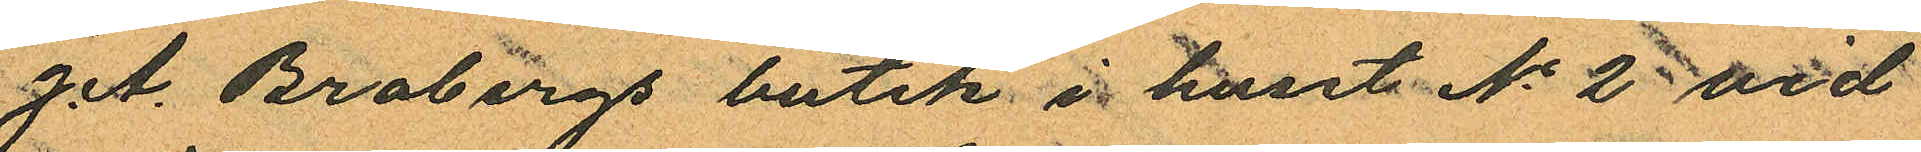J. A. Brobergs butik i huset No 2 vid
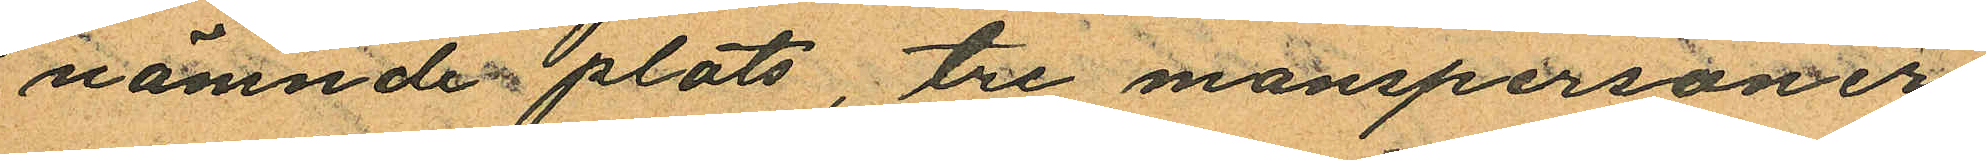nämnde plats, tre manspersoner
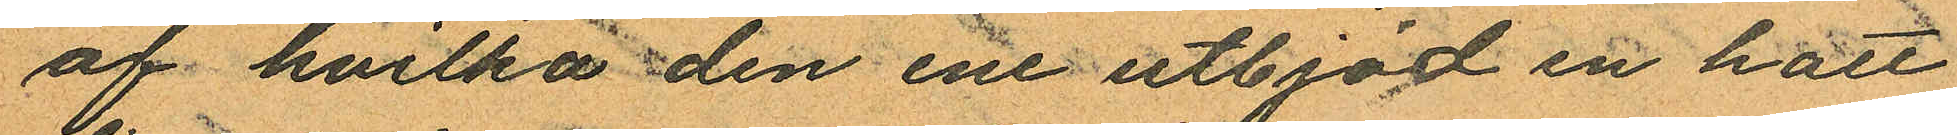af hvilka den ene utbjöd en hatt
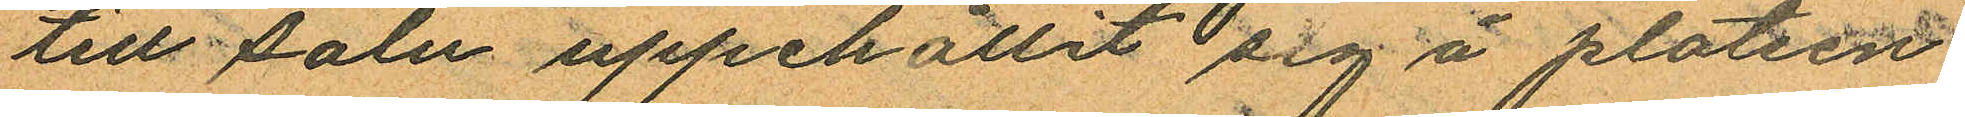till salu uppehållit sig å platsen
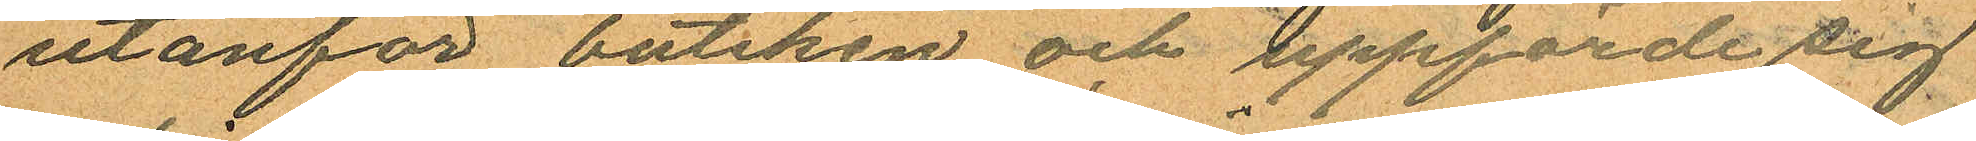utanför butiken och uppförde sig
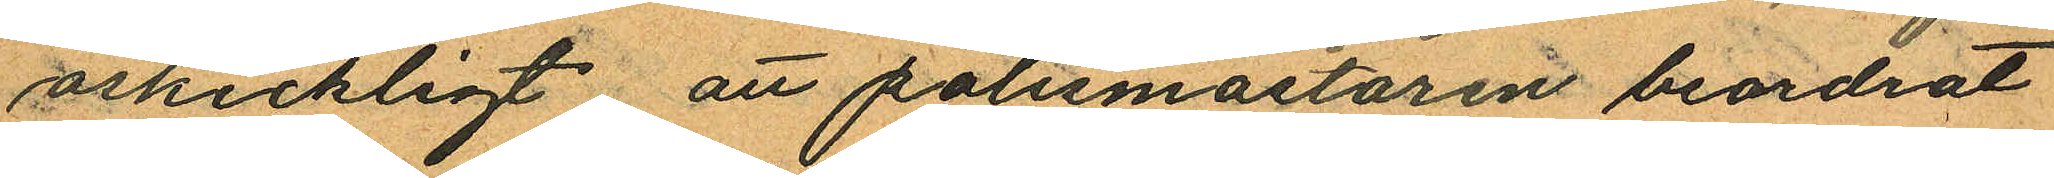oskickligt att polismästaren beordrat
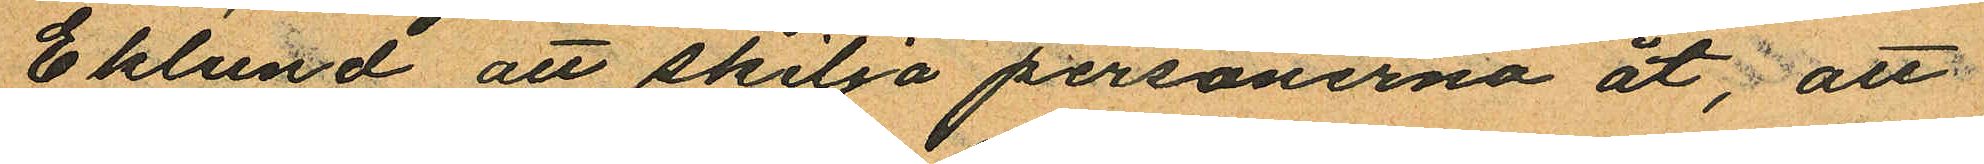Eklund att skilja personerna åt, att
